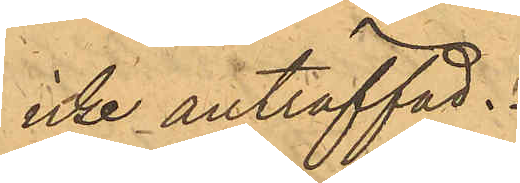icke anträffad.
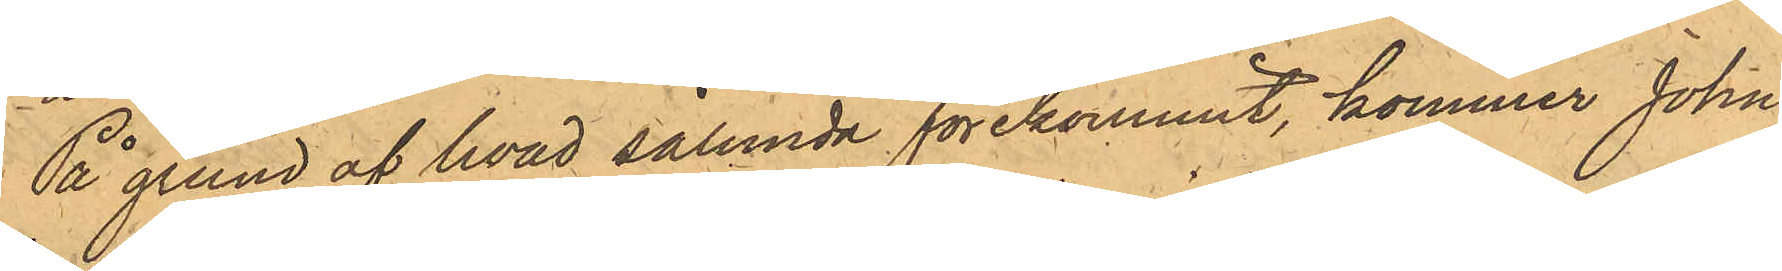På grund af hvad sålunda förekommit, kommer John
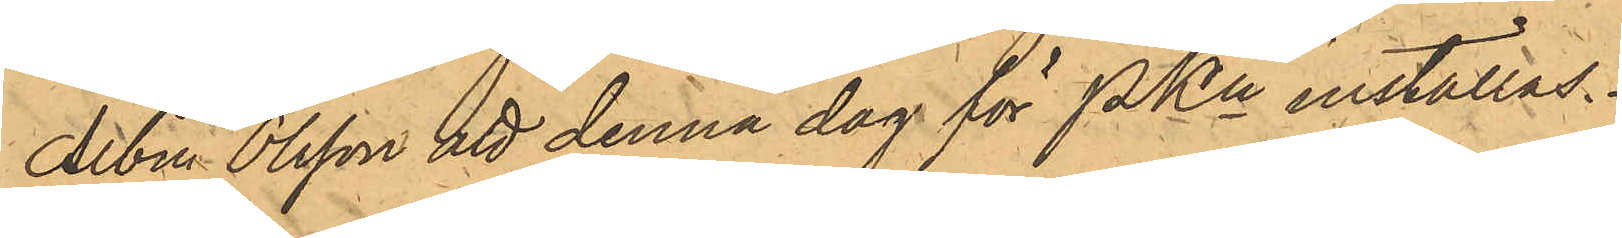Albin Olsson att denna dag för PKn inställas.
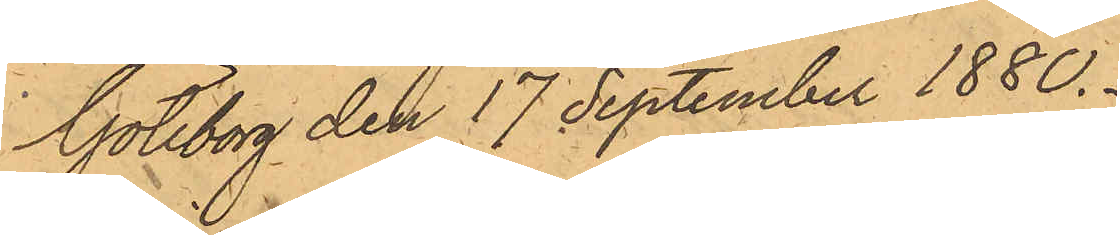Göteborg den 17 September 1880.
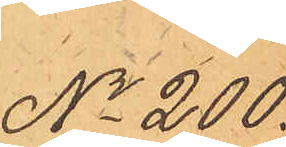No 200.
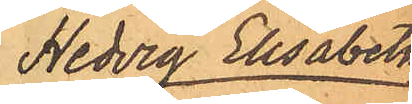Hedvig Elisabeth
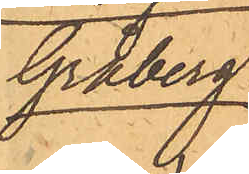Gråberg.
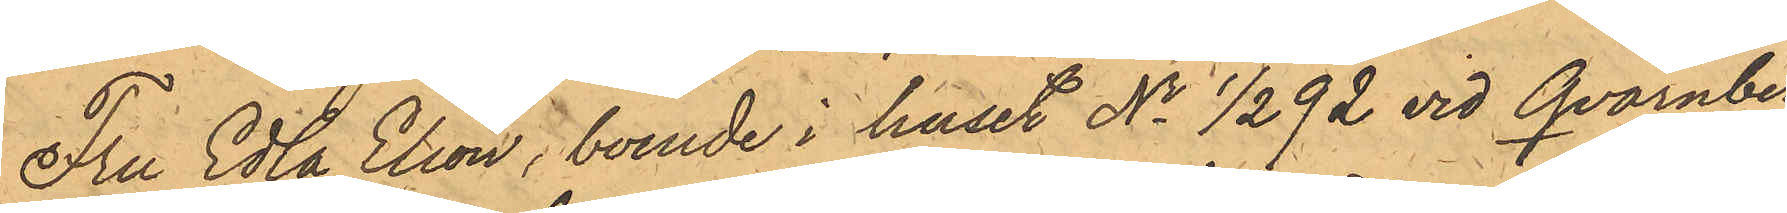Fru Edla Elion, boende i huset No 1/292 vid Qvarnber¬
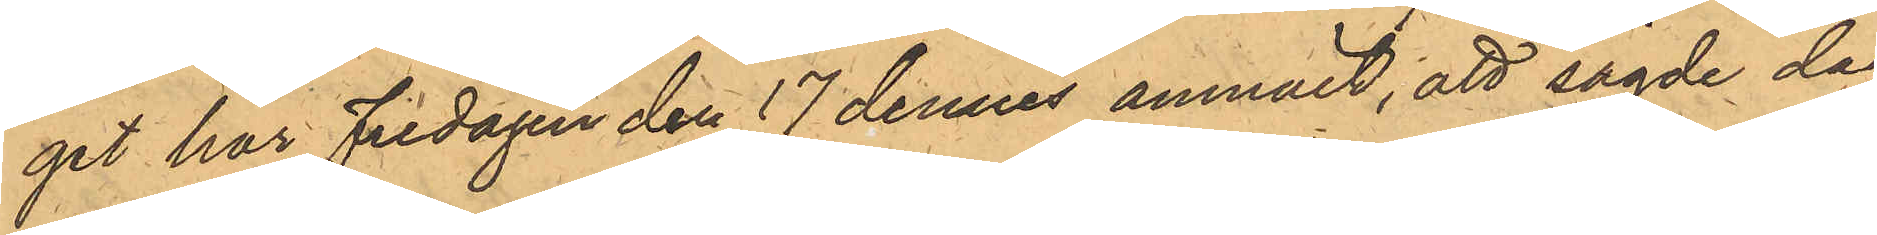get har Fredagen den 17 dennes anmält, att sagde dag
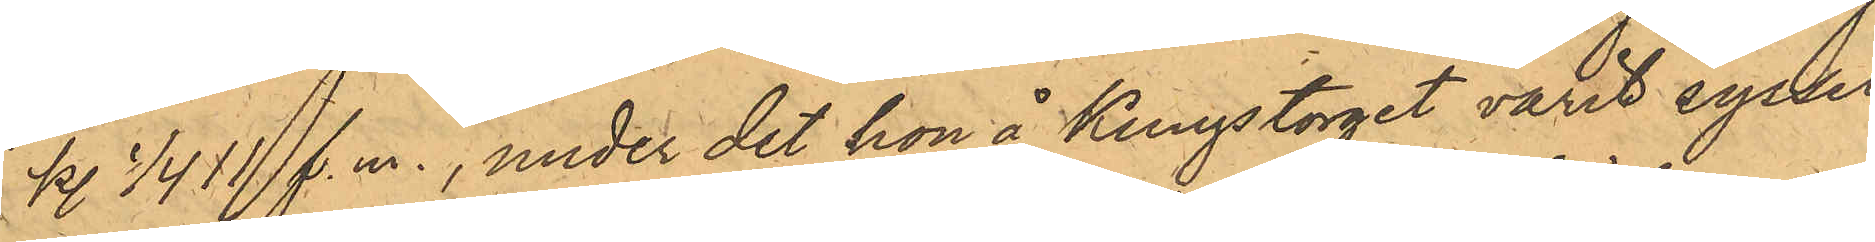kl 1/4 11 f.m., under det hon å Kungstorget varit syssel¬
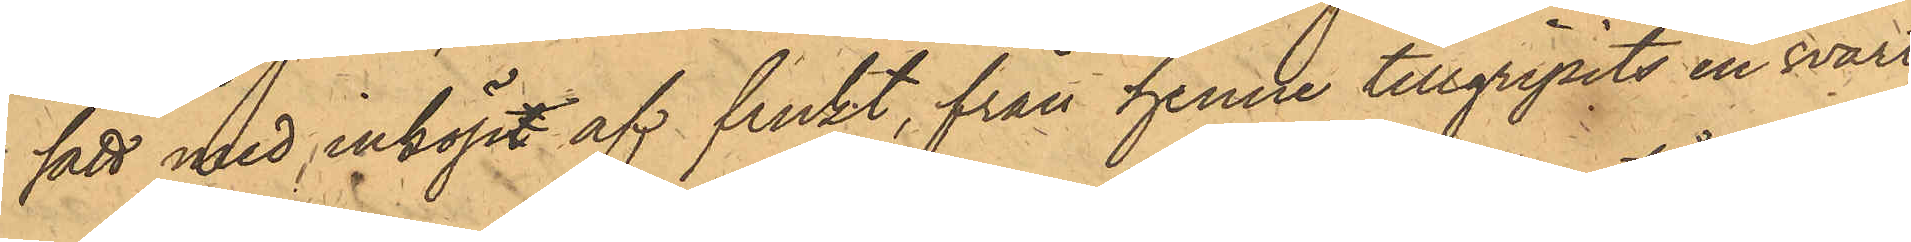satt med inköpt af frukt, från henne tillgripits en svart
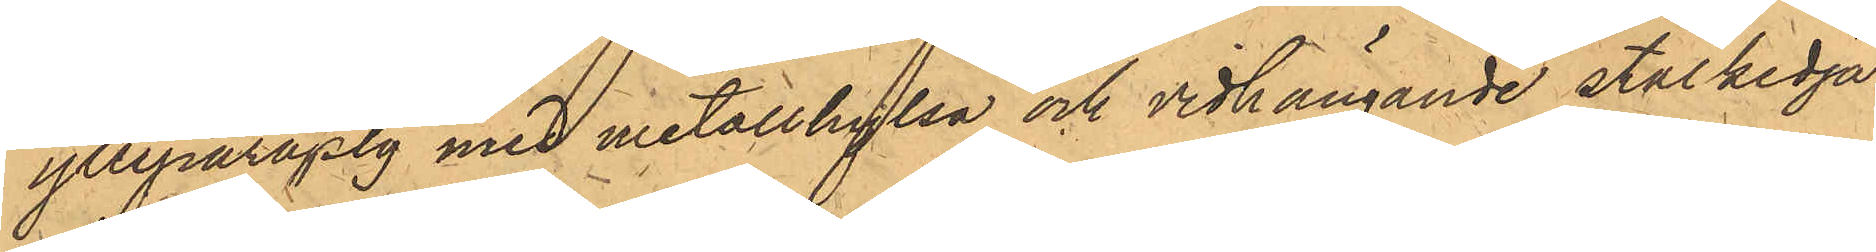ylleparaply med metallhylsa och vidhängande stålkedja,
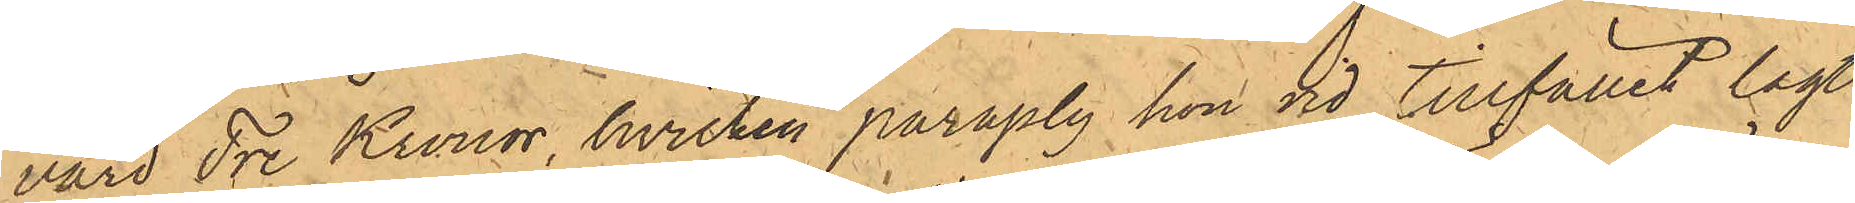värd Tre Kronor, hvilken paraply hon vid tillfället lagt
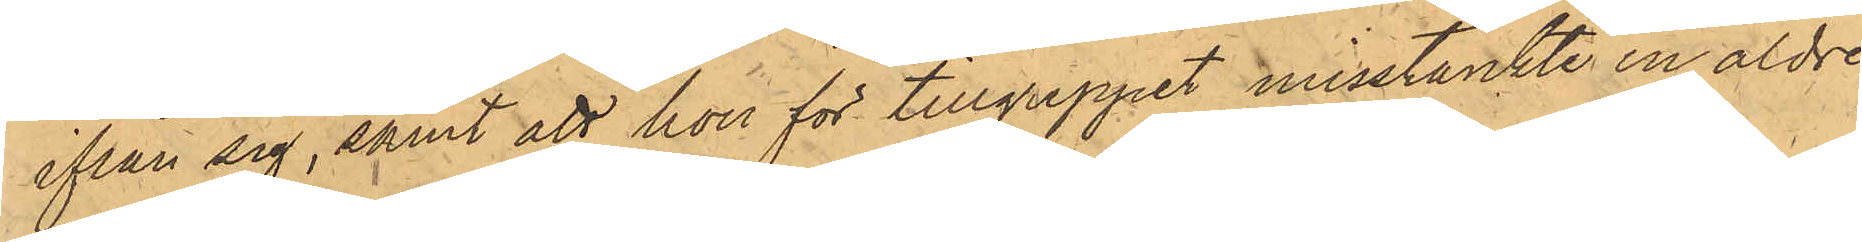ifrån sig, samt att hon för tillgreppet misstänkte en äldre
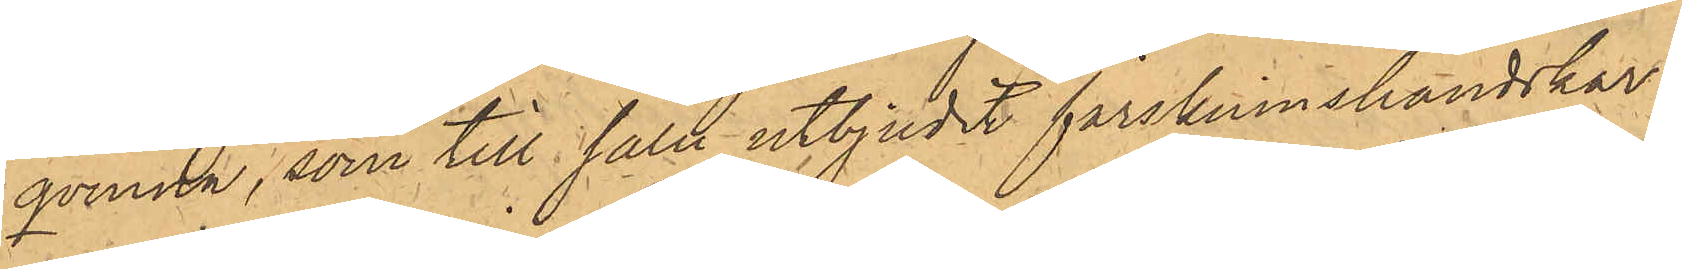qvinna, som till salu utbjudit fårskinnshandskar.
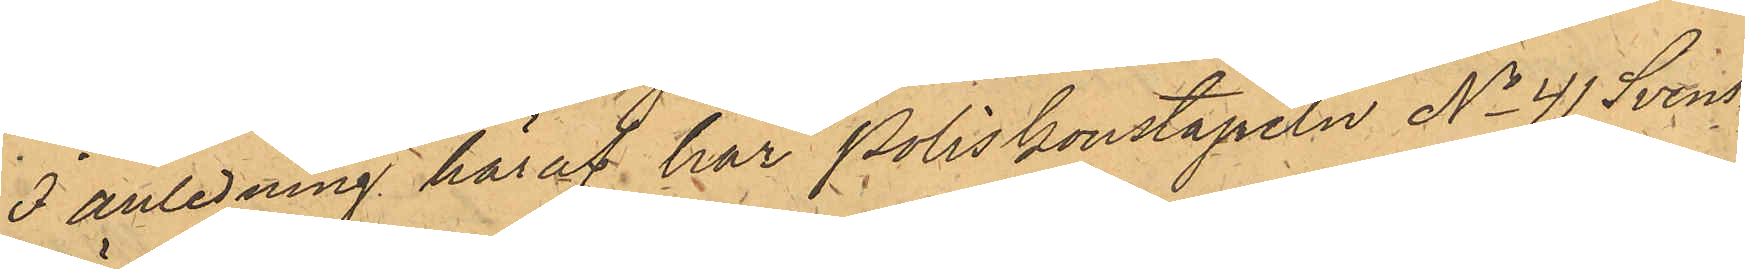I anledning häraf har Poliskonstapeln No 41 Svens¬
